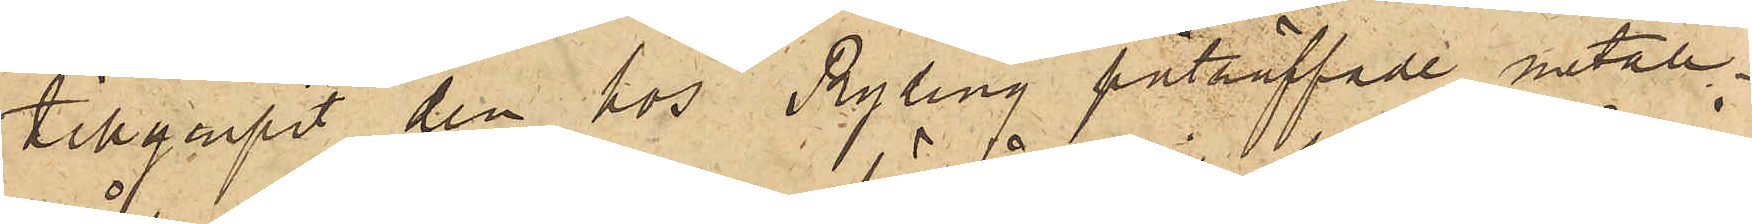tillgripit den hos Ryding påträffade metall¬
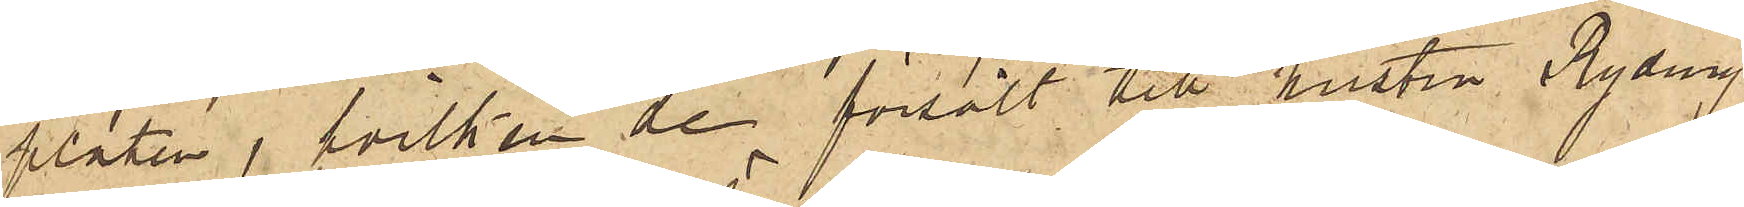plåten, hvilken de försålt till hustru Ryding
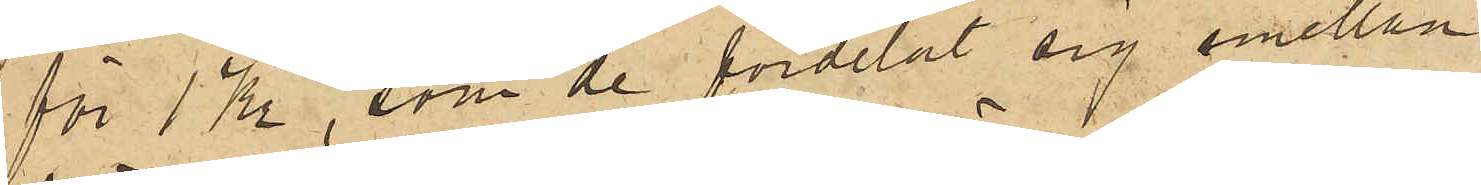för 1 Kr, som de fördelat sig emellan.
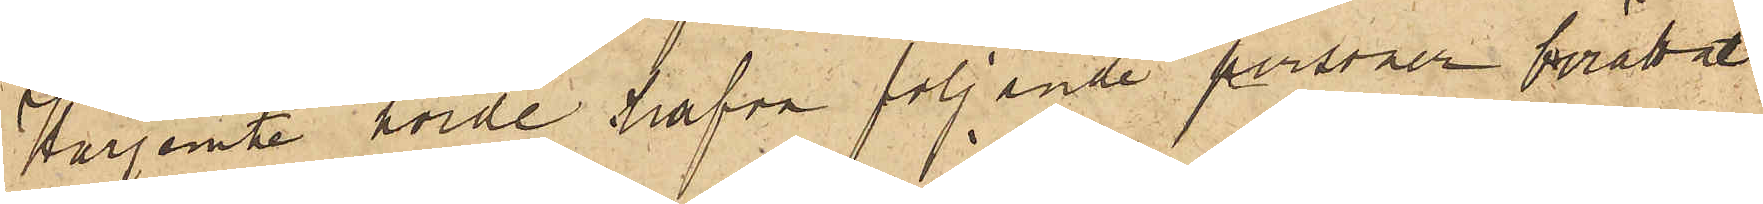Härjemte hörde hafva följande personer berättat:
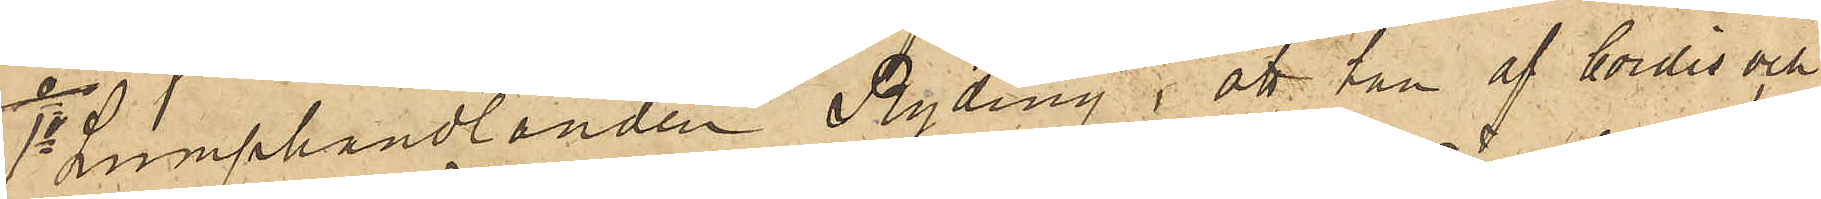1o Lumphandlanden Ryding, att han af Cordis och
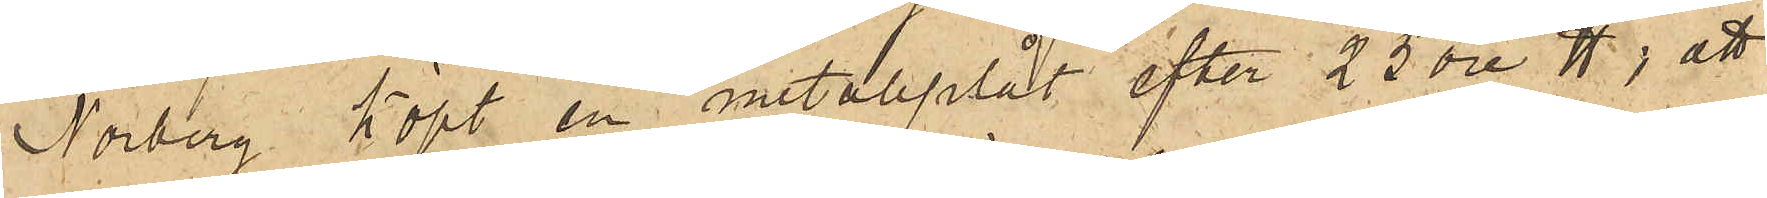Norberg köpt en metallplåt efter 25 öre ℔; att
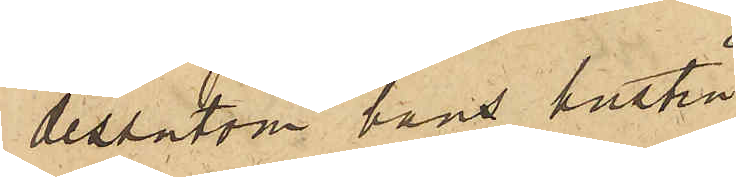dessutom hans hustru
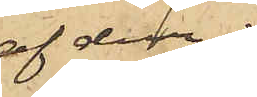af dem
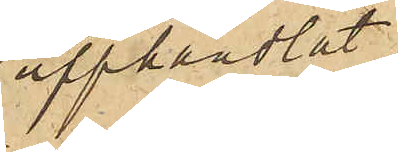upphandlat
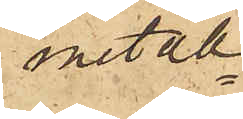metall¬
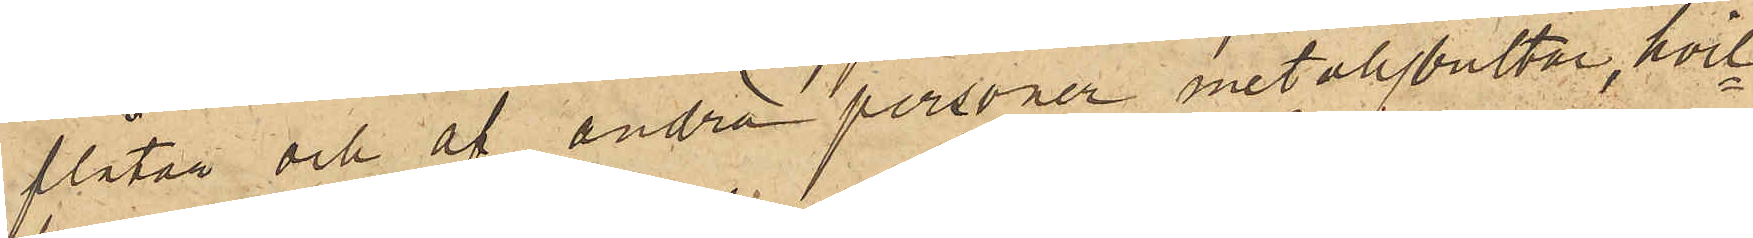plåtar och af andra personer metallbultar, hvil¬
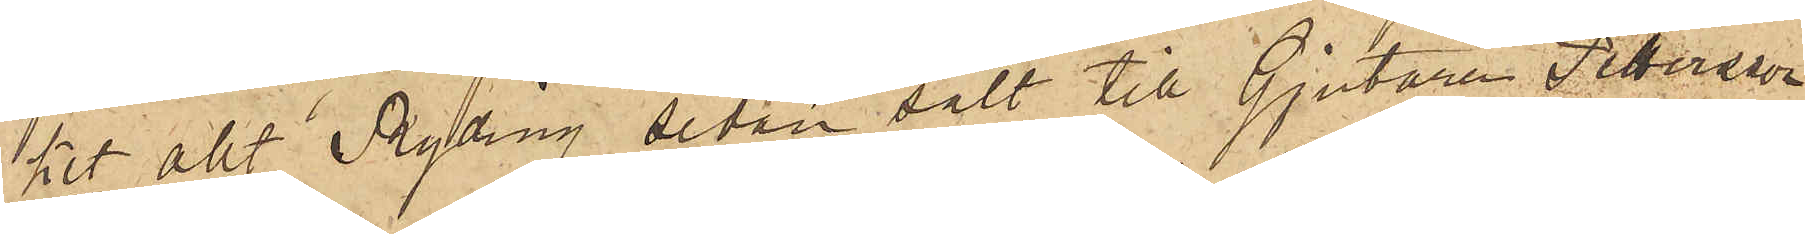ket allt Ryding sedan sålt till Gjutaren Pettersson
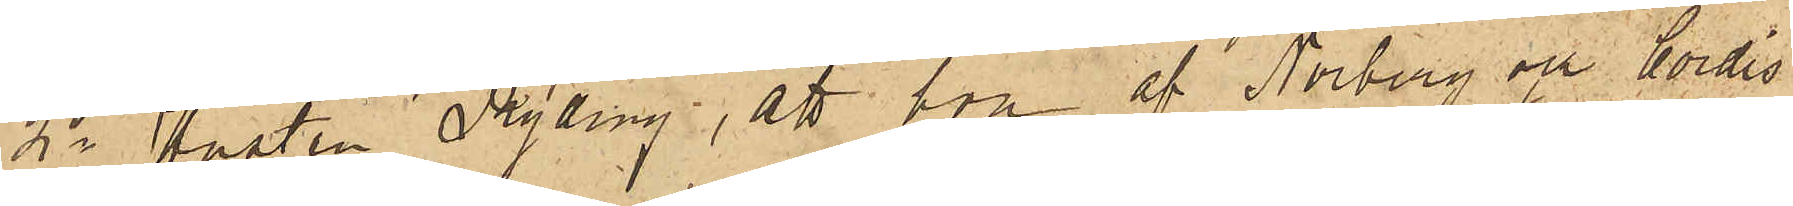2o Hustrun Ryding, att hon af Norberg och Cordis
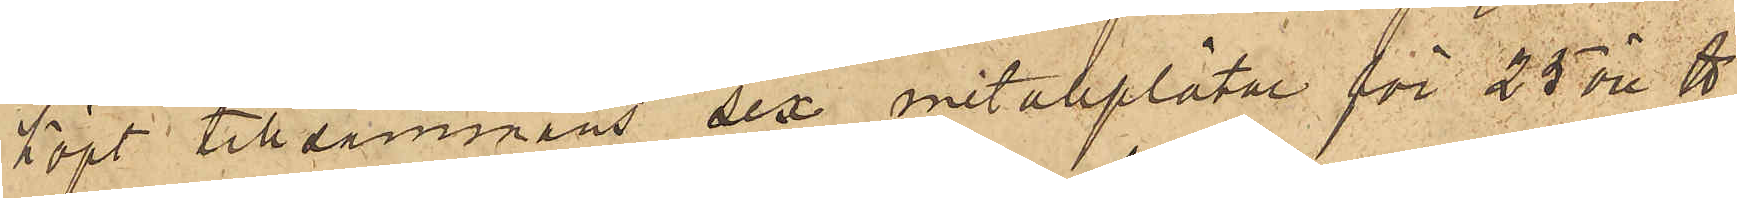köpt tillsammans sex metallplåtar för 25 öre ℔,
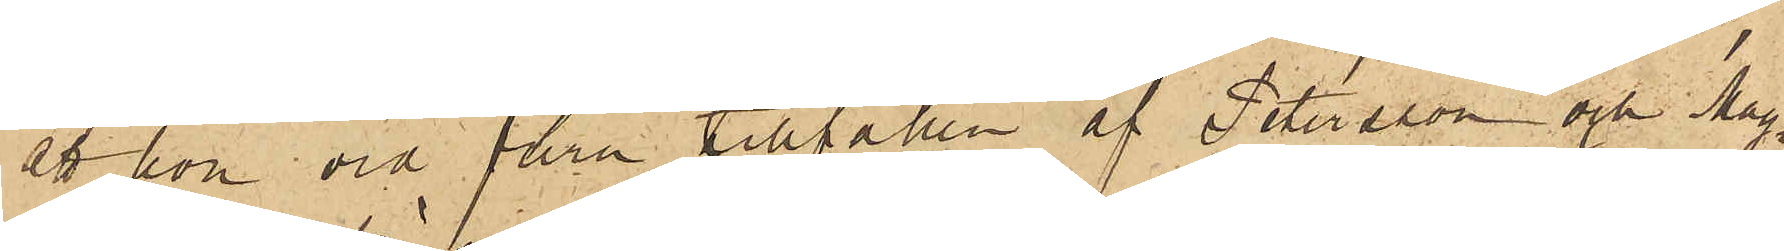att hon vid flera tillfällen af Petersson och Mag¬
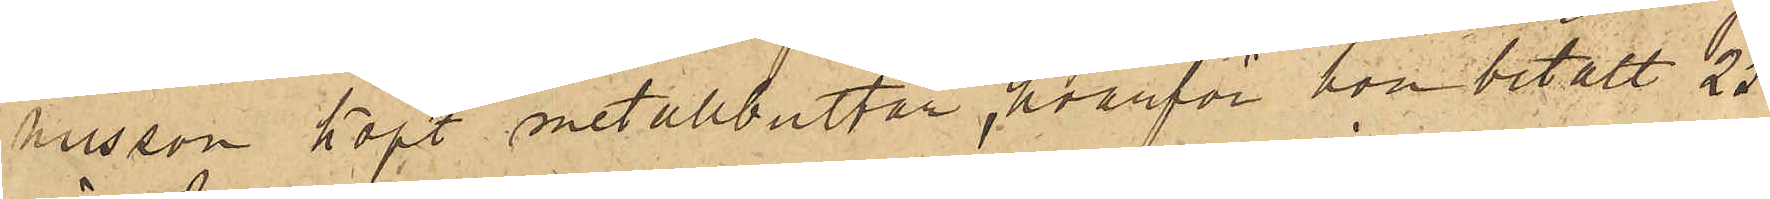nusson köpt metallbultar, hvarför hon betalt 25
